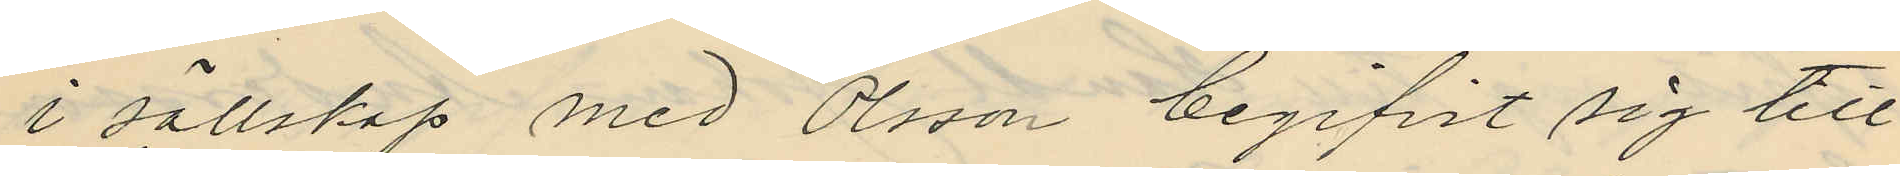i sällskap med Olsson begifvit sig till
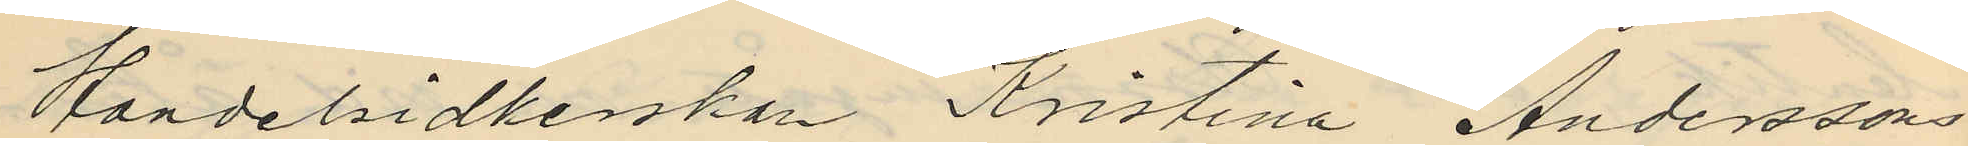Handelsidkerskan Kristina Anderssons
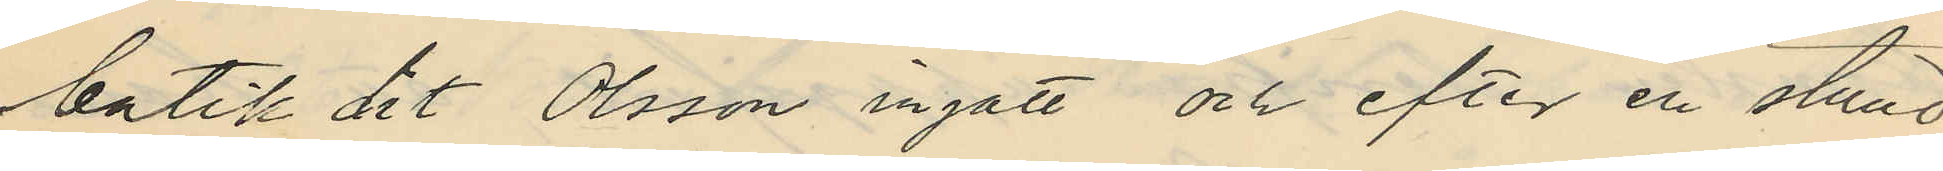butik dit Olsson ingått och efter en stund
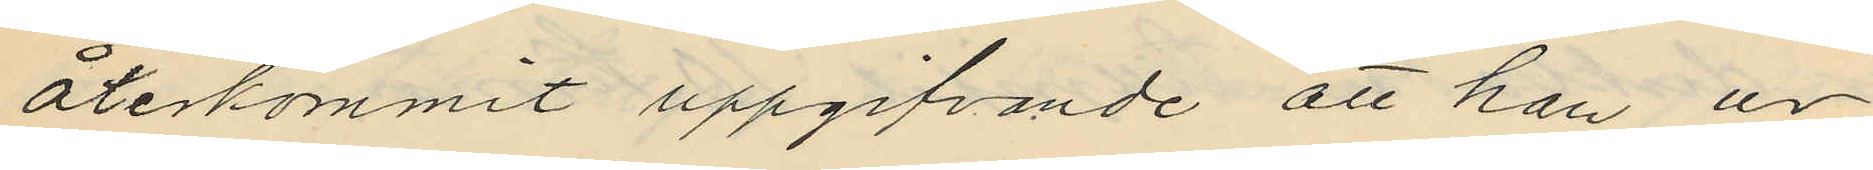återkommit uppgifvande att han ur
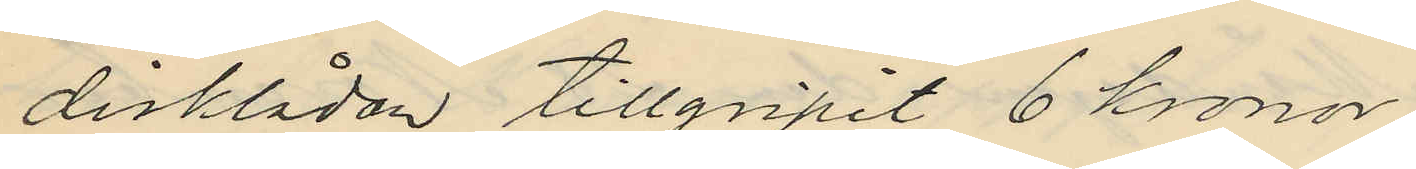disklådan tillgripit 6 kronor;
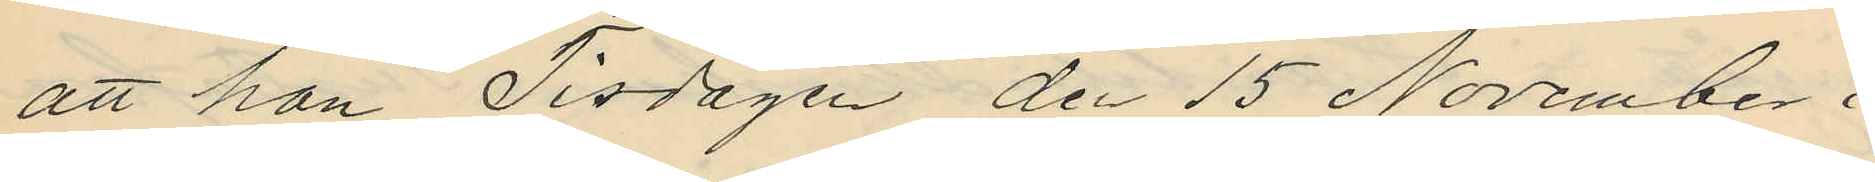att han Tisdagen den 15 November i
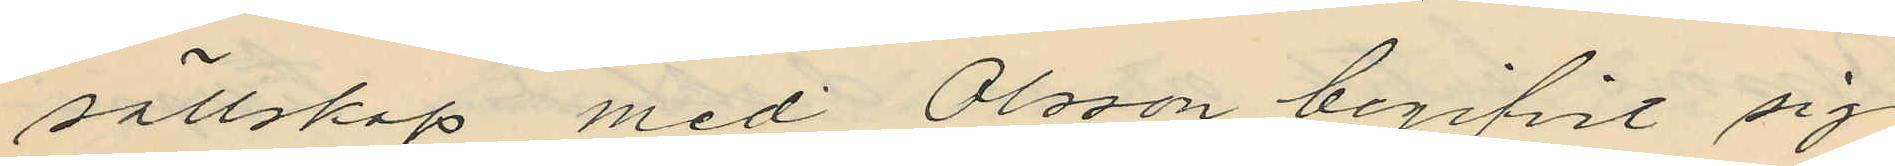sällskap med Olsson begifvit sig
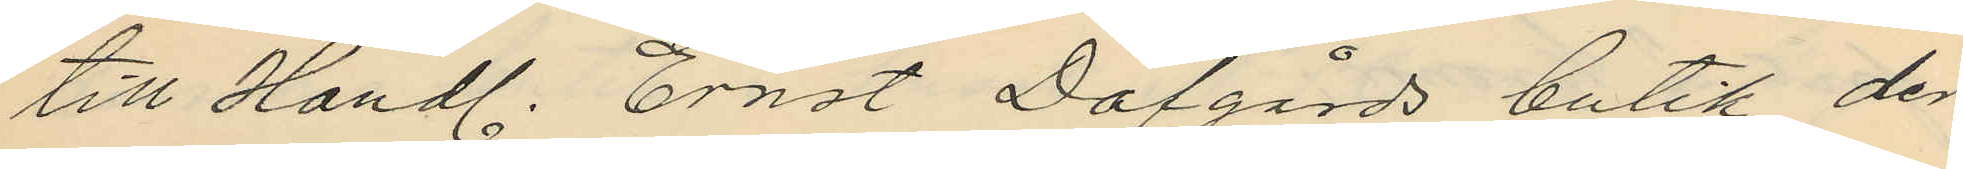till Handl. Ernst Dafgårds butik der
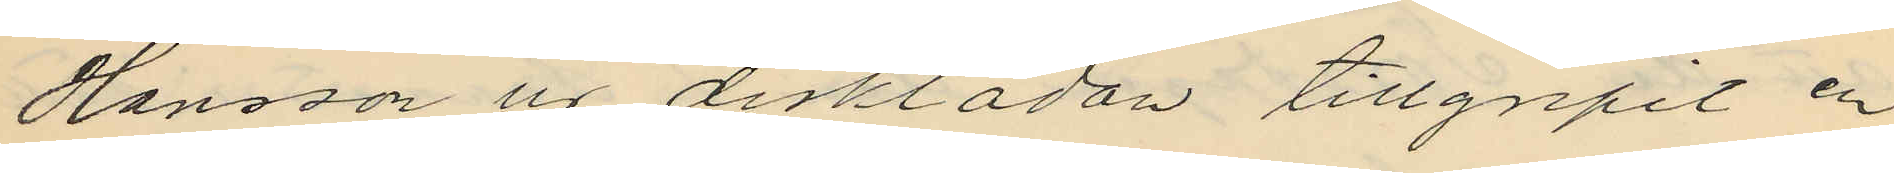Hansson ur disklådan tillgripit en
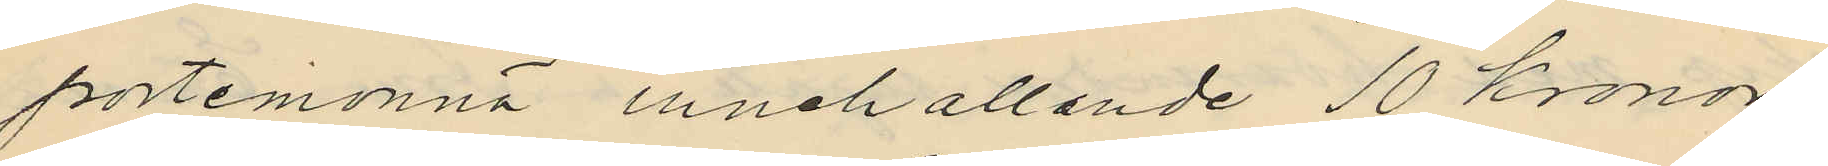portemonnä, innehållande 10 Kronor.
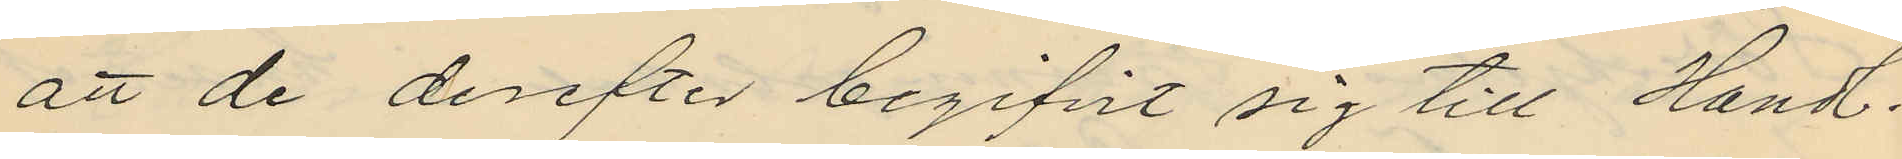att de derefter begifvit sig till Handl.
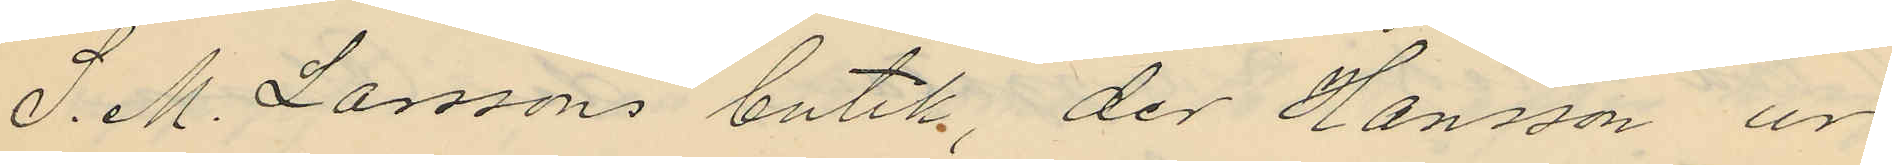S. M. Larssons butik, der Hansson ur
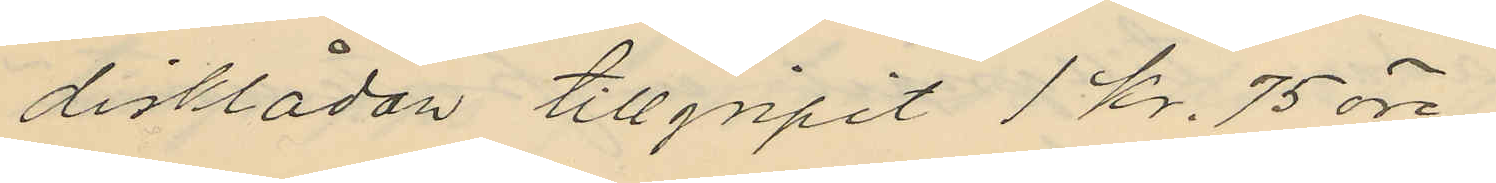disklådan tillgripit 1 kr. 75 öre
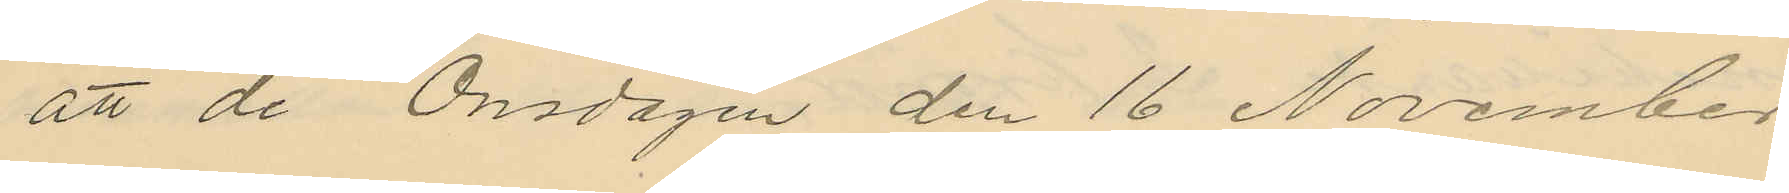att de Onsdagen den 16 November
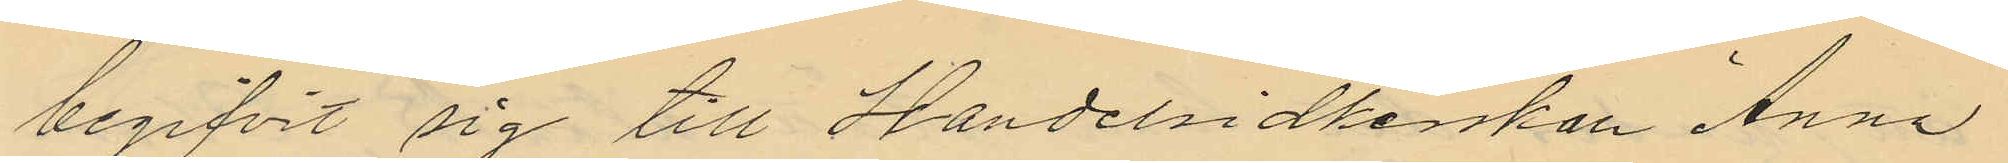begifvit sig till Handelsidkerskan Anna
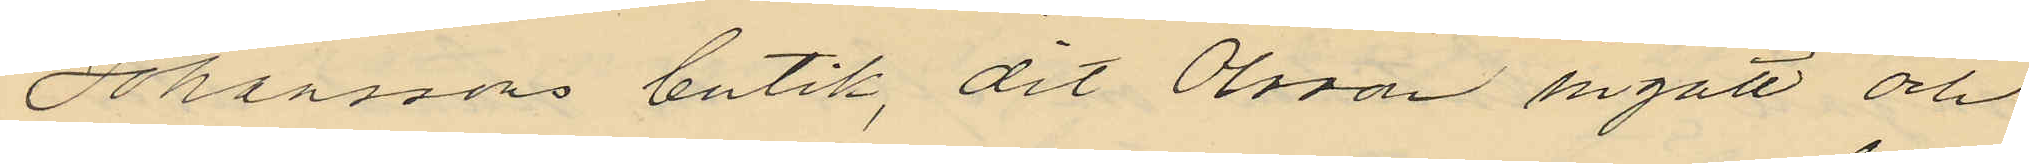Johanssons butik, dit Olsson ingått och
